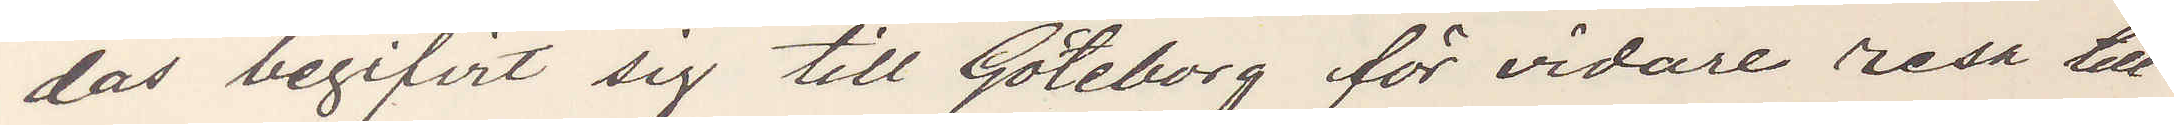das begifvit sig till Göteborg för vidare resa till
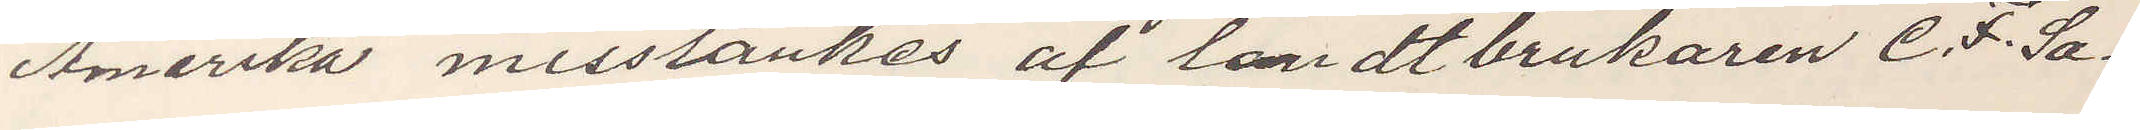Amerika misstänkes af landtbrukaren C. F. Sa¬
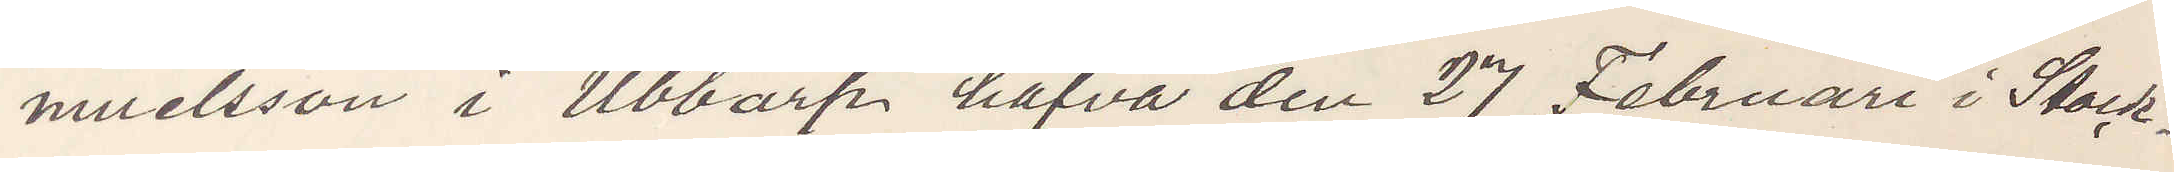muelsson i Ubbarp hafva den 27 Februari i Stock¬
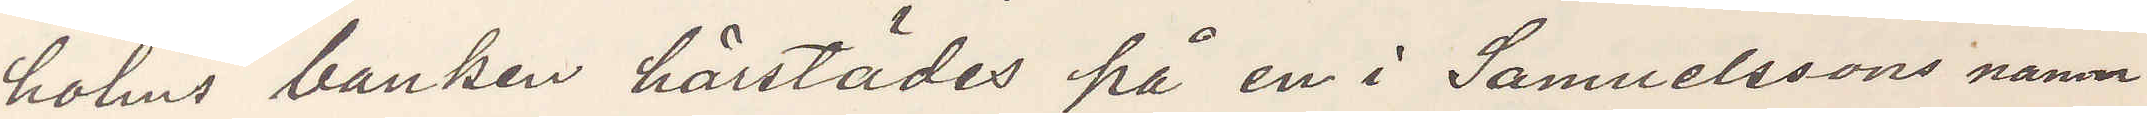holms banken härstädes på en i Samuelssons namn
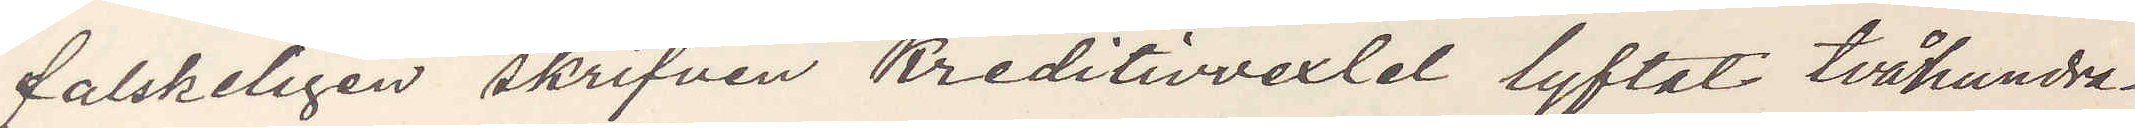falskeligen skrifven Kreditivvexlel lyftat tvåhundra¬
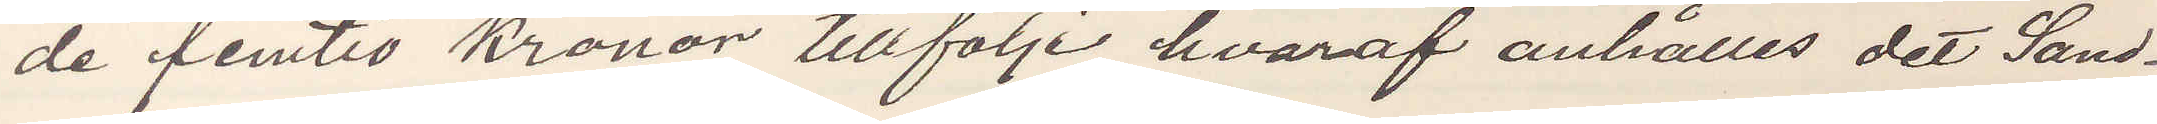de femtio kronor, tillfölje hvaraf anhålles det Sand¬
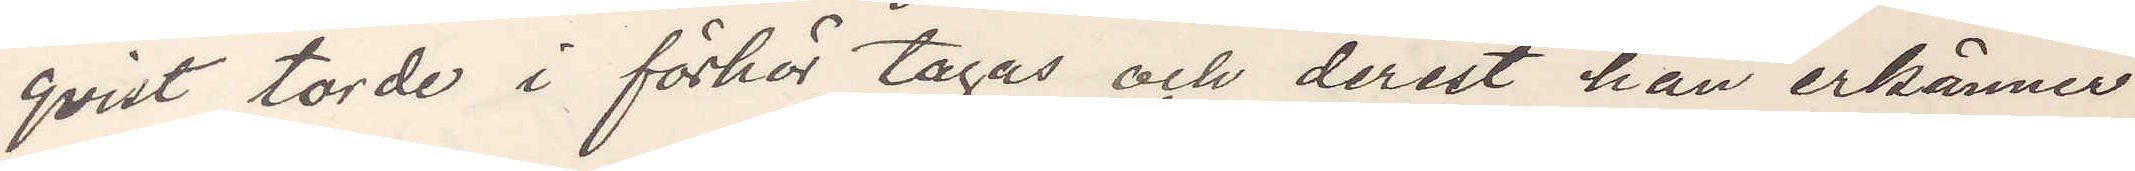qvist torde i förhör tagås och derest han erkänner
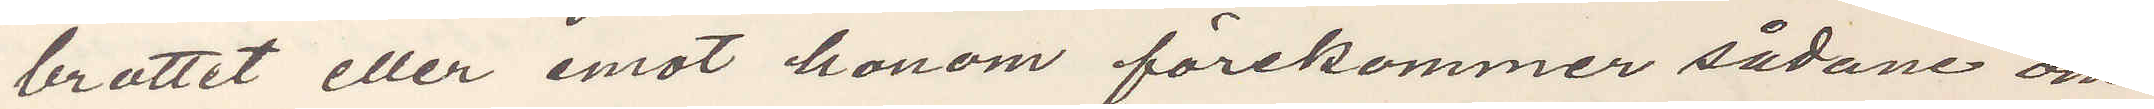brottet eller emot honom förekommer sådane om¬
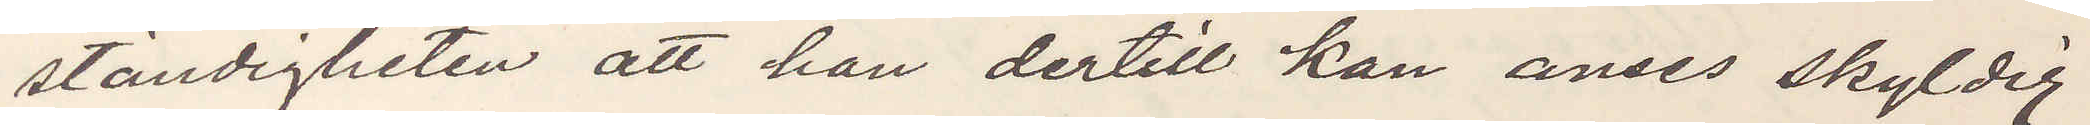ständigheten att han dertill kan anses skyldig
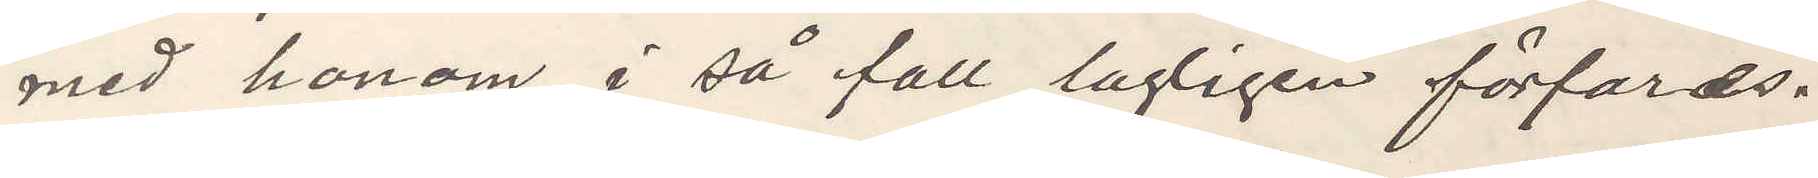med honom i så fall lagligen förfaras.
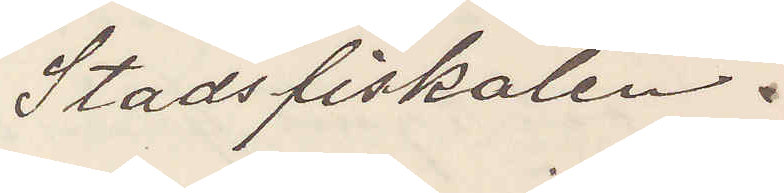Stadsfiskalen.
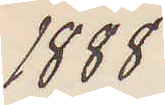1888
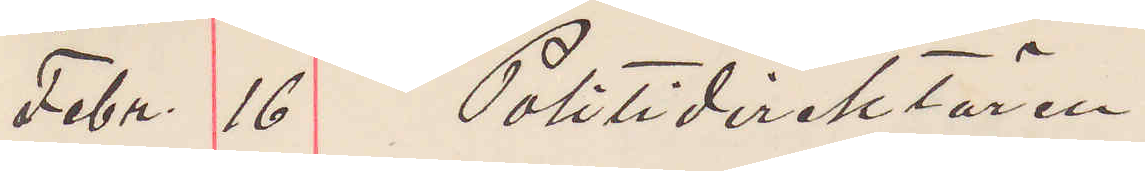Febr. 16 Politidirektören
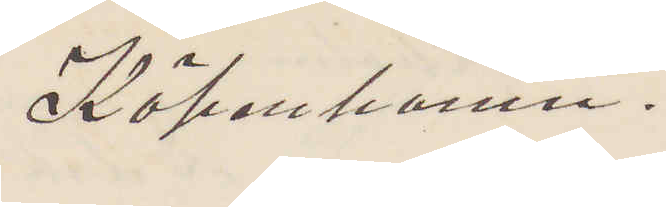Köpenhamn.
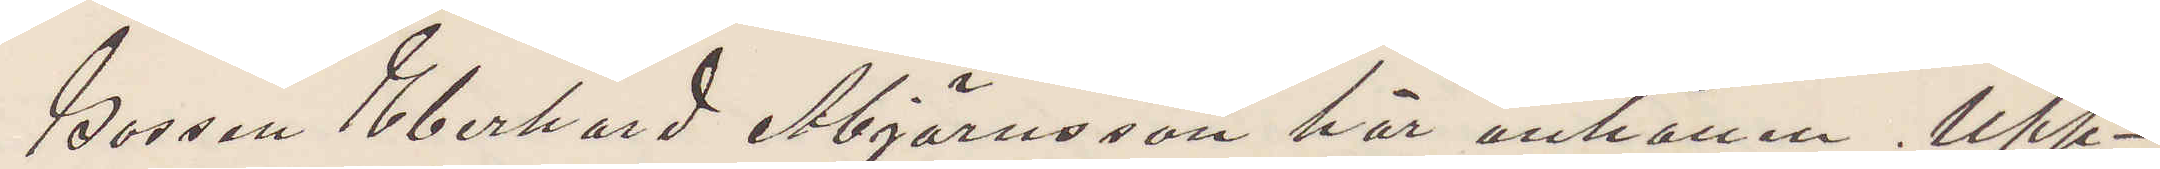Gossen Eberhard Åbjörnsson här anhållen. Upp¬
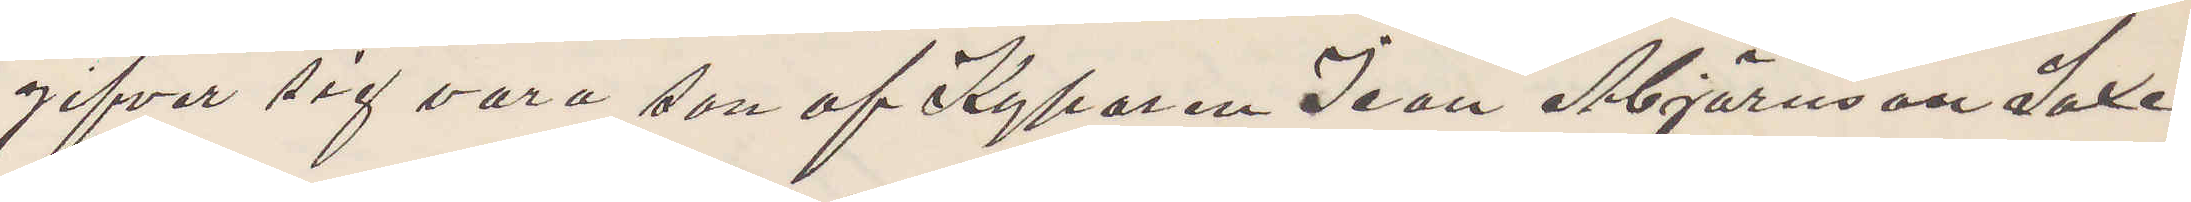gifver sig vara son af Kyparen Ivan Åbjörnson Saxe¬
